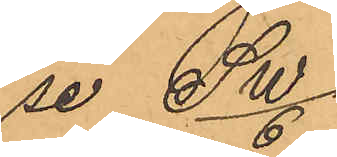se SW/6.
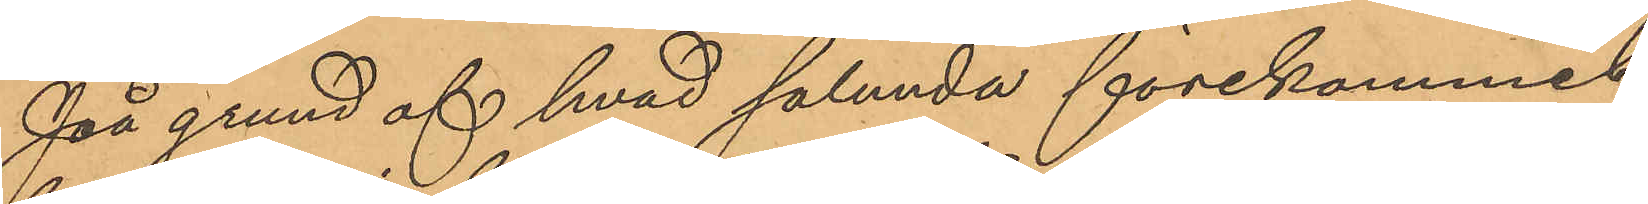På grund af hvad sålunda förekommit
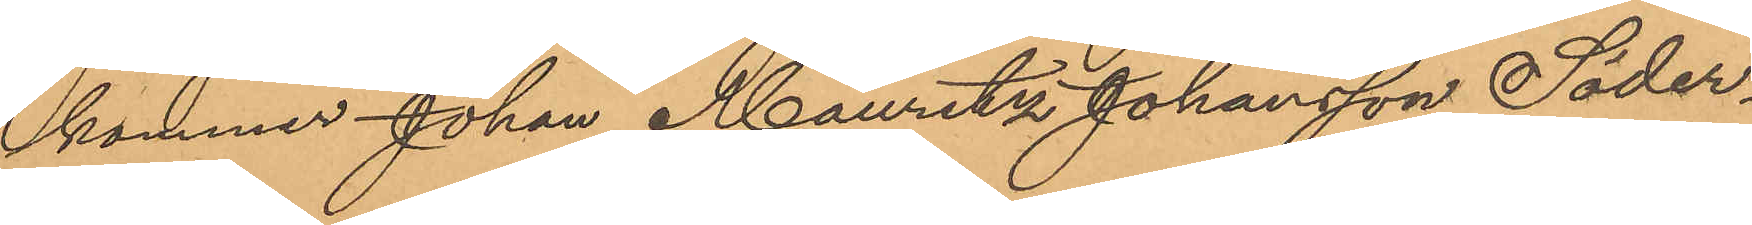kommer Johan Mauritz Johansson Söder¬
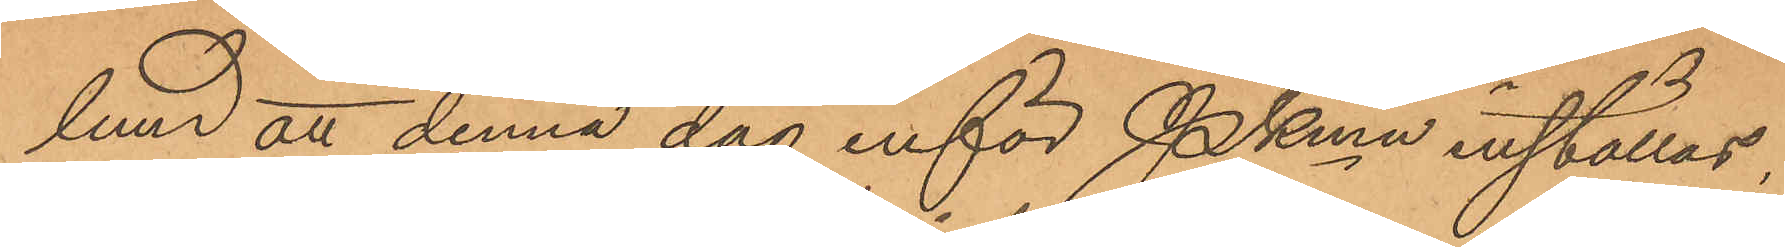lund att denna dag inför Pkmn inställas.
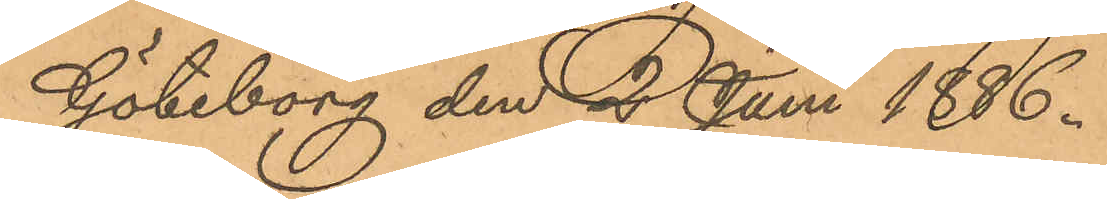Göteborg den 2 Juni 1886.
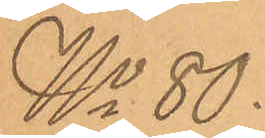No 80.
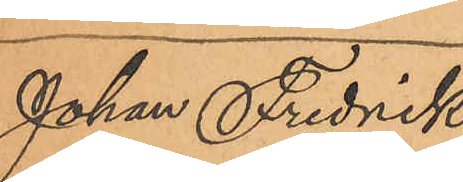Johan Fredrik
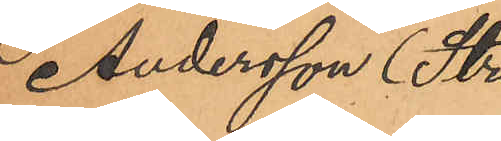Andersson (Stre¬
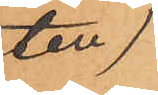ten)
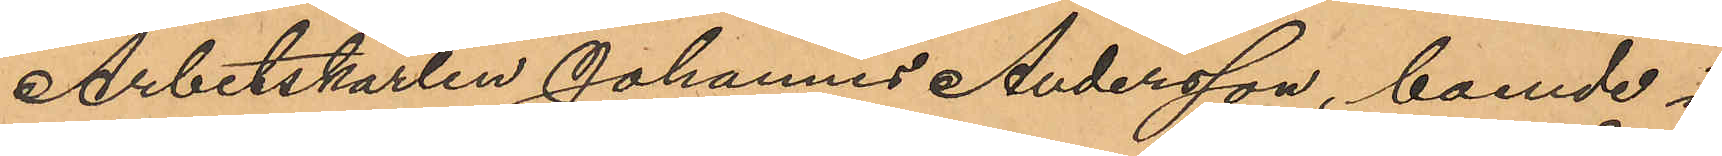Arbetskarlen Johannes Andersson, boende i
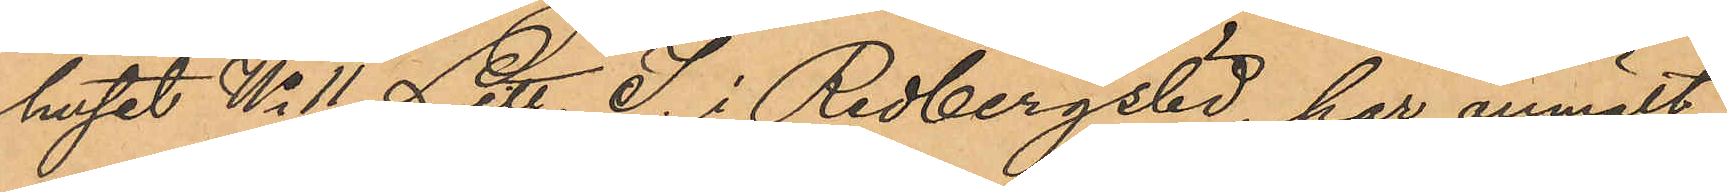huset No 11 Litt. I. i Redbergslid, har anmält
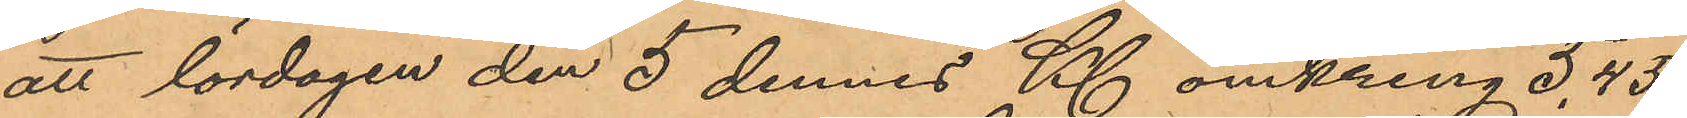att lördagen den 5 dennes Kl omkring 5,45
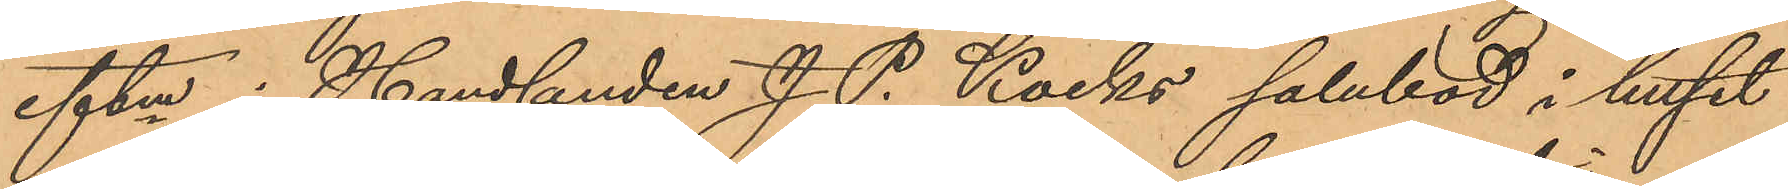eftm i Handlanden J. P. Kocks salubod i huset
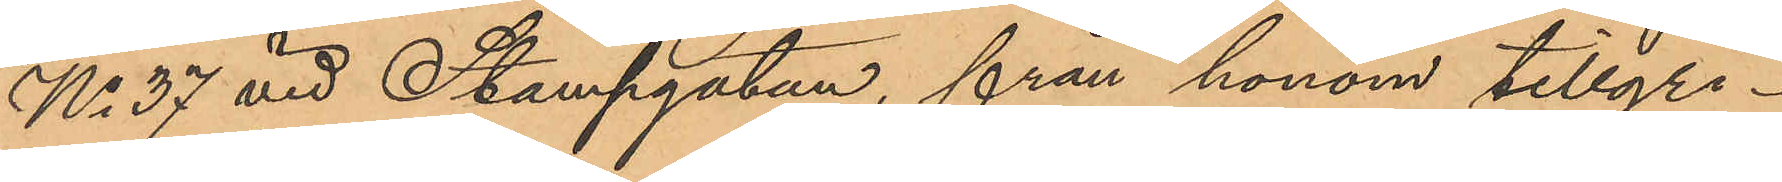No 37 vid Stampgatan, från honom tillgri¬
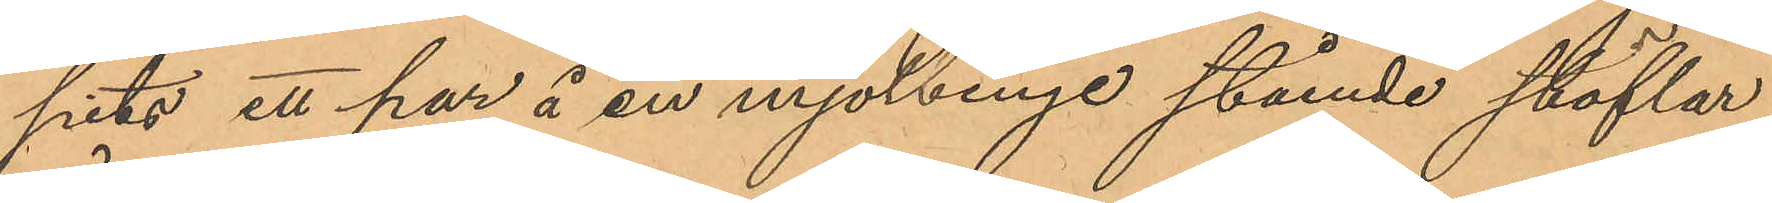pits ett par å en mjölbinge stående stöflar,
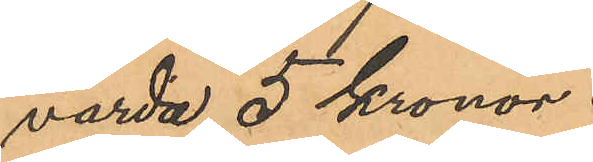värda 5 Kronor.
